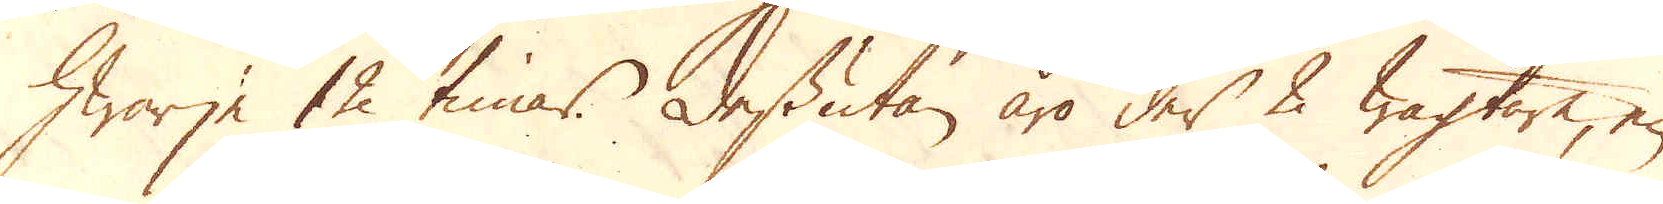hwarje 12 timar. Dessutan äro der 2 wagtare, en
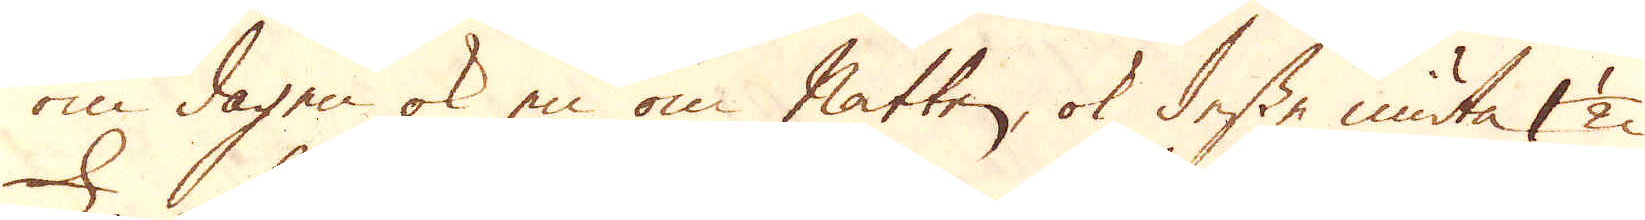om dagen ok en om natten, ok desse niuta 1 1/2
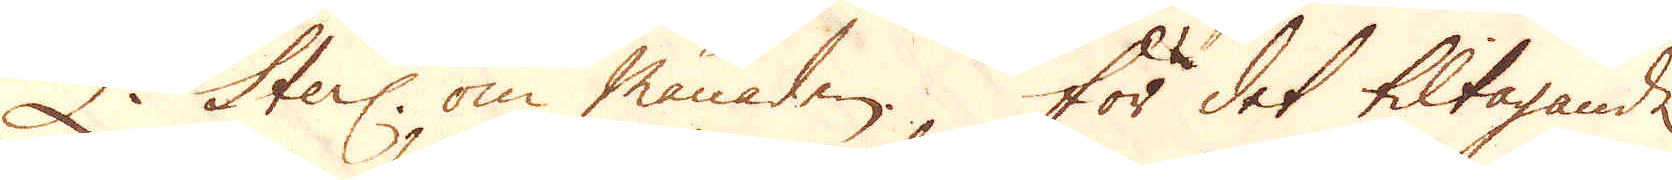£ Sterl: om månaden. För det tiltagande
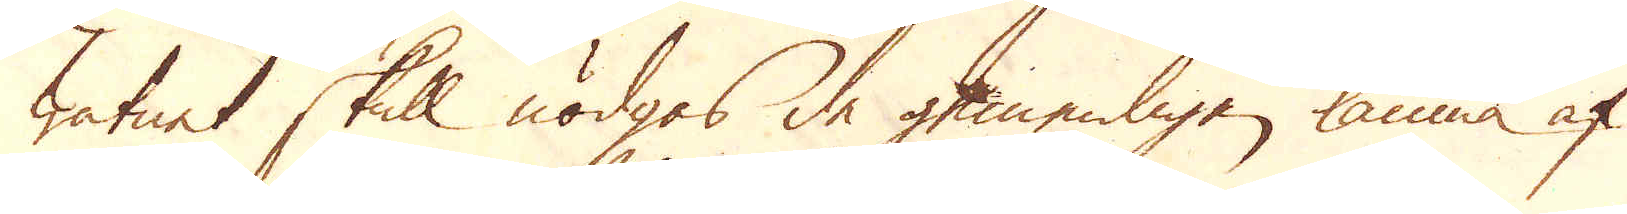watnet skull nödgas de gemenligen lämna af
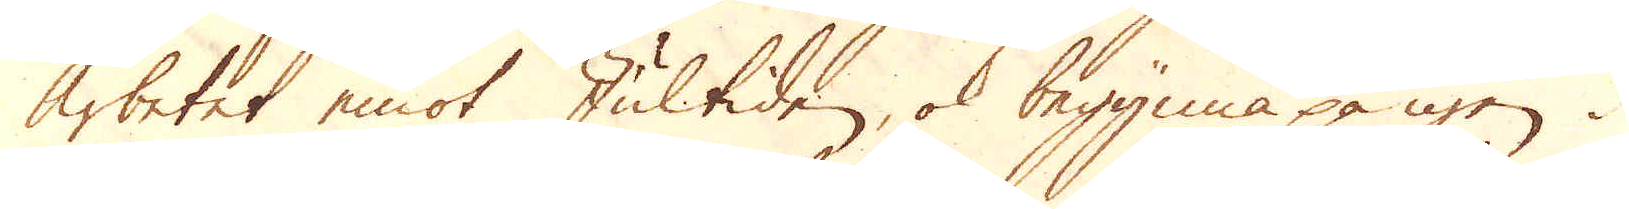arbetet emot Jultiden, ok begynna på igen i
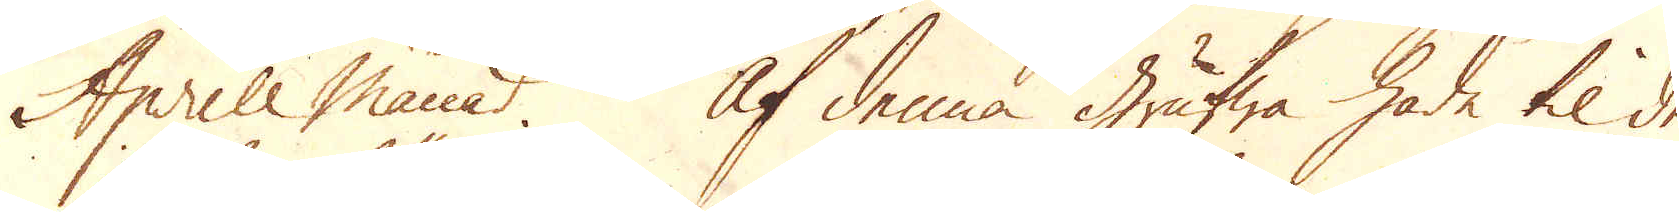Aprill månad. Af denna grufwa hade til den
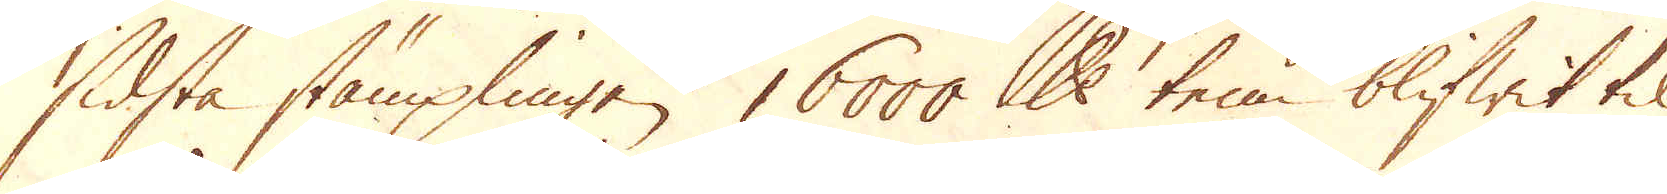sidsta stämplingen 16000 skålpund tenn blifwit til-
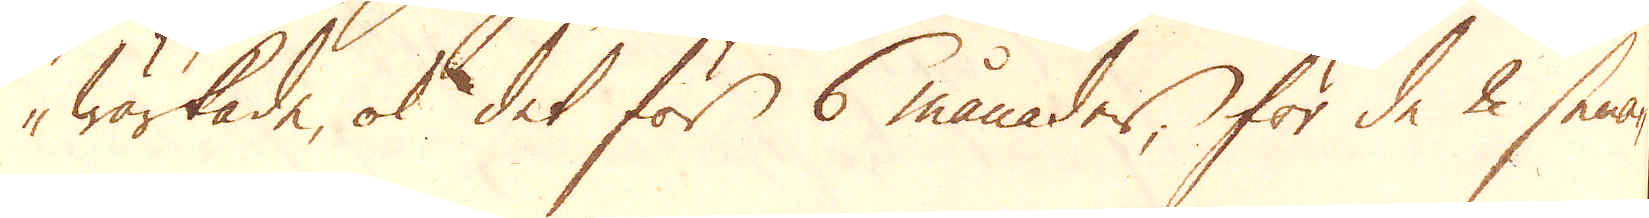wärkade, ok det för 6 månader, för de 2 sena-
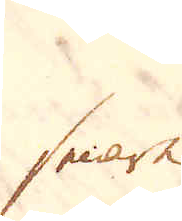senare
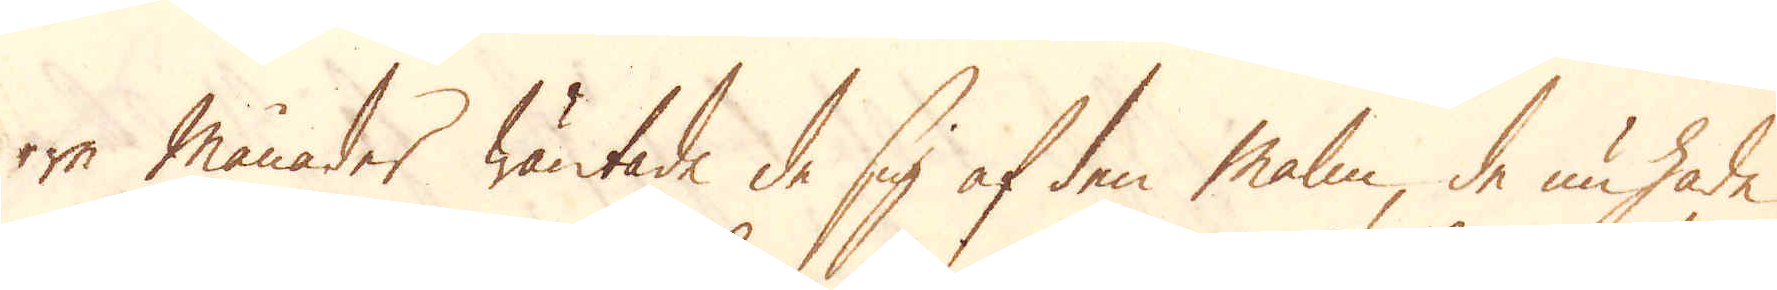re månader wäntade de sig af den malm de nu hade
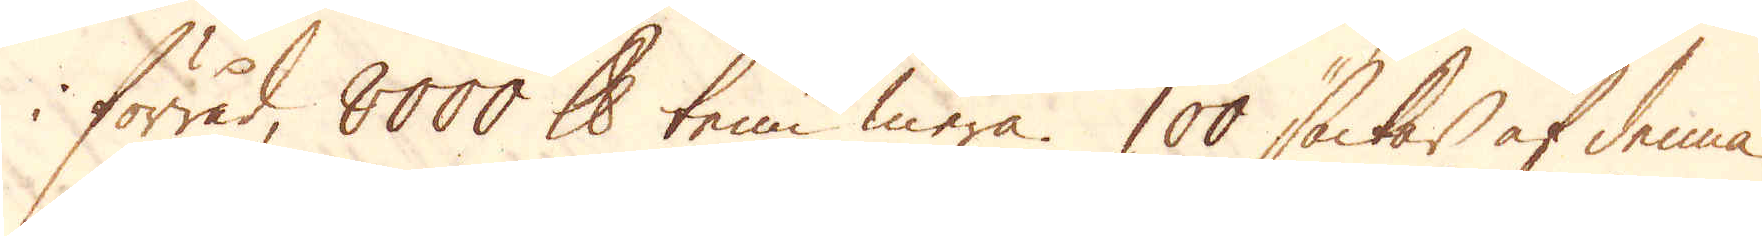i förråd, 8000 skålpund tenn mera. 100 säckar af denna
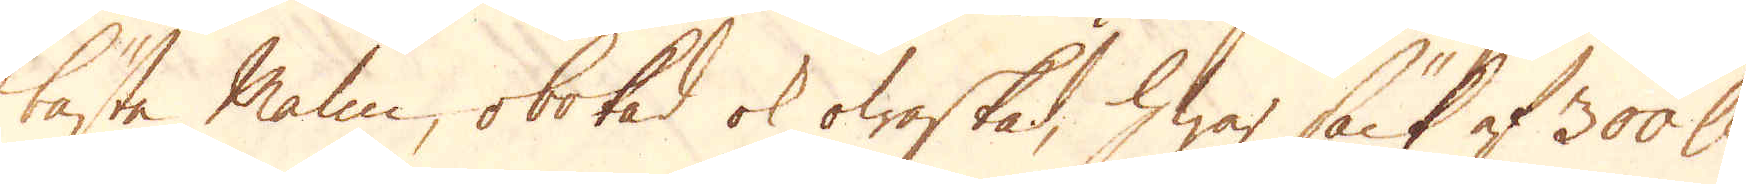bästa Malm, obokad ok owaskad, hwar säck af 300 skålpund
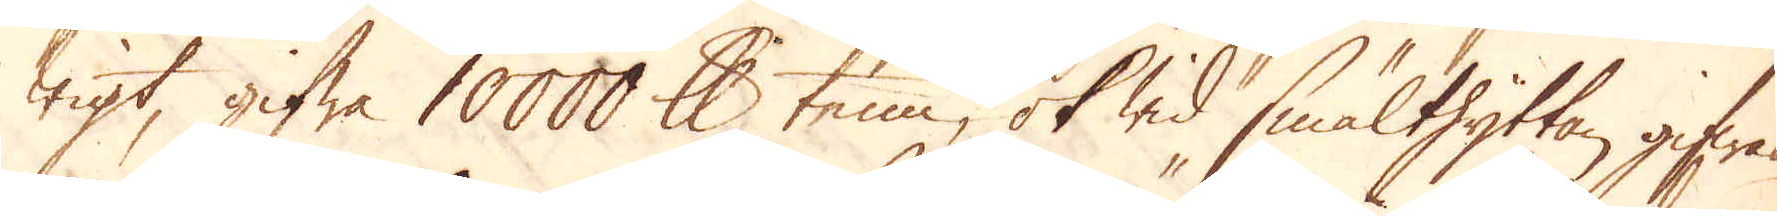wigt, gifwa 10000 skålpund tenn, ok wid smälthyttan gifwas
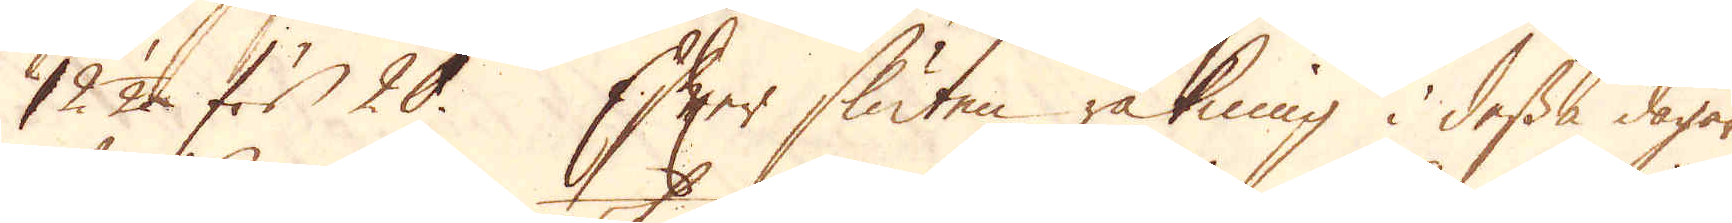12 1/2. för 20. Efter sluten räkning i dessa dagar
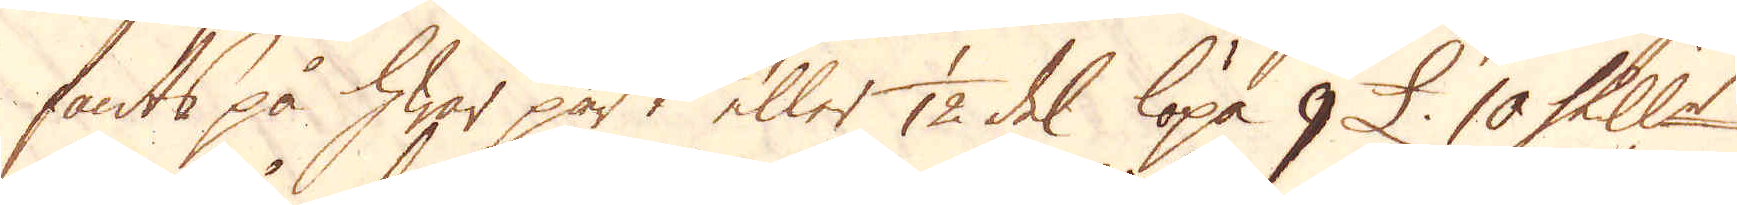fants på hwar part eller 1/12 del löpa 9 £. 10 Skill:r
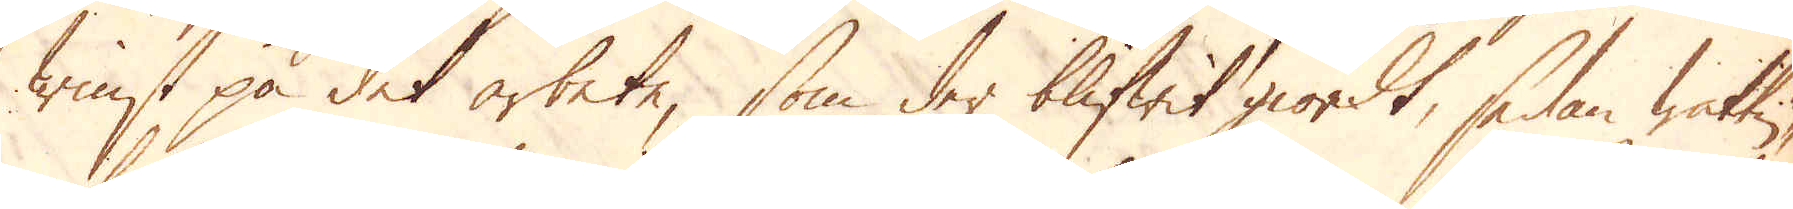tinst på det arbete, som der blifwit giordt, sedan wattu-
